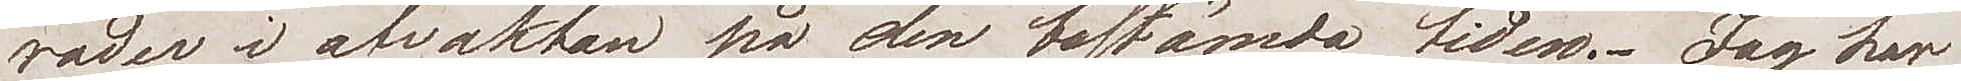rader i afvaktan på den bestämda tiden. Jag har
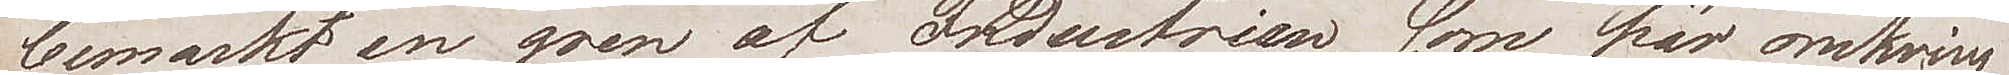bemärkt en gren af Industrien som här omkring
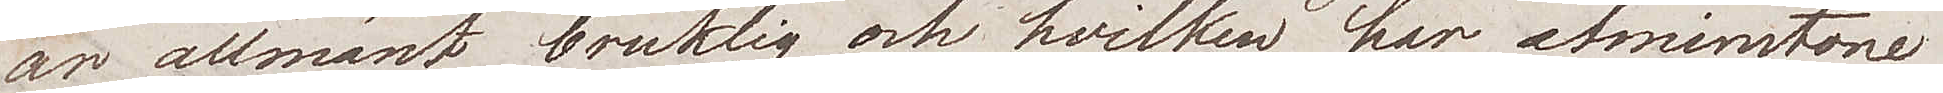är allmänt bruklig och hvilken har åtminstone
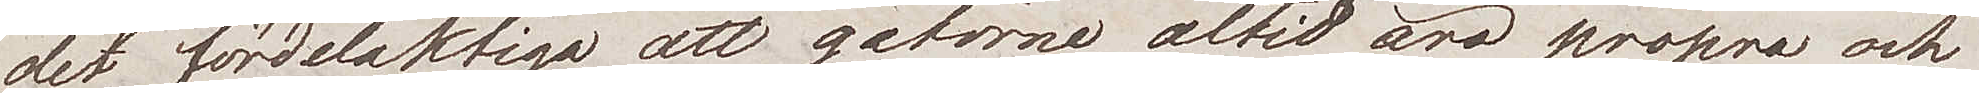det fördelaktiga att gatorna altid äro propra och
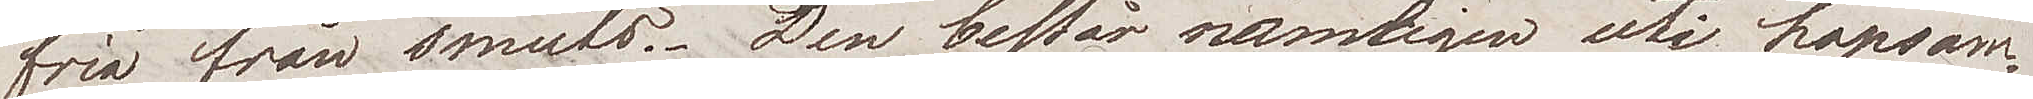fria från smuts. Den består nämligen uti hopsam¬
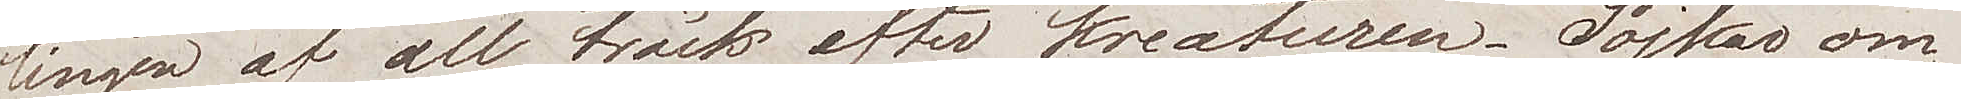lingen af all träck efter kreaturen. Pojkar om¬
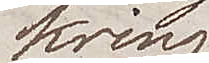kring
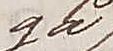gå
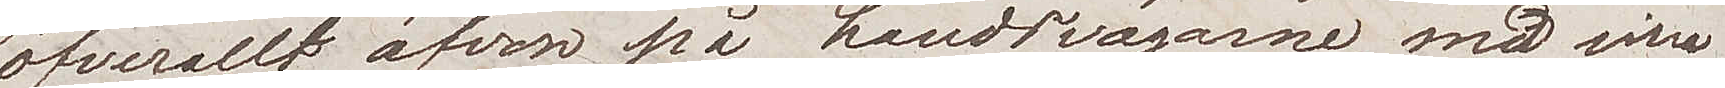öfverallt äfven på landsvägarna, med sina
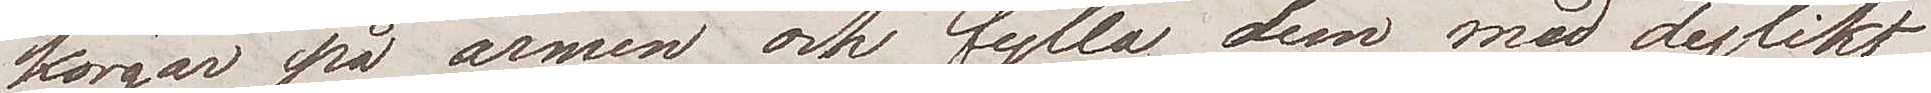korgar på armen och fylla dem med dylikt
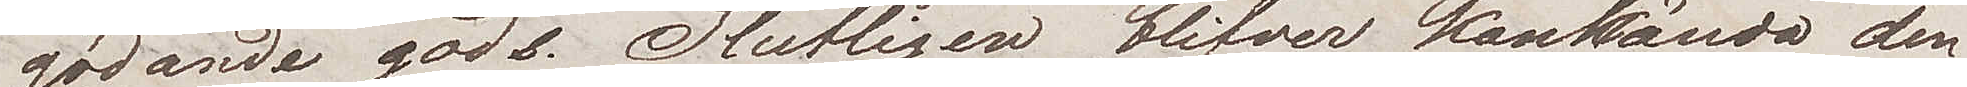gödande gods. Slutligen blifver kanhända den¬
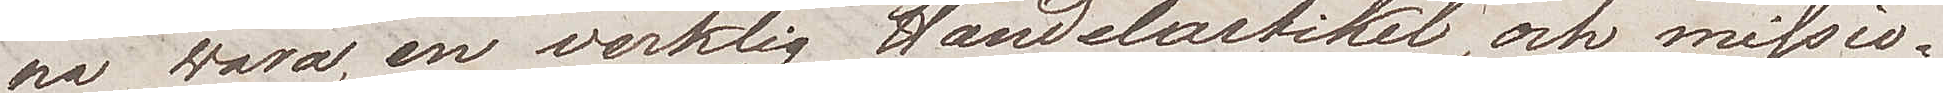na wara, en werklig Handelsartikel, och missio¬
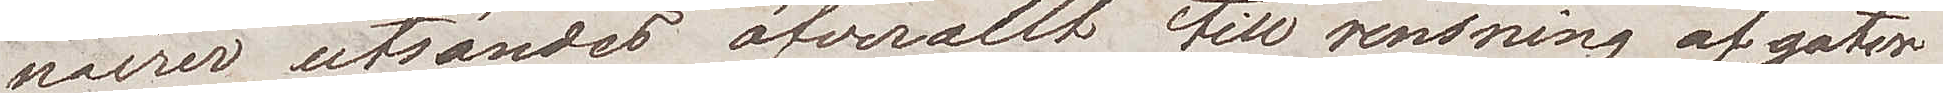nairer utsändes öfverallt till rensning af gator
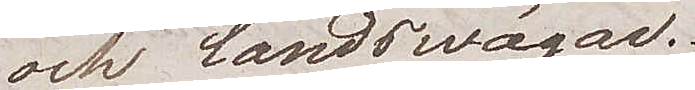och landsvägar.
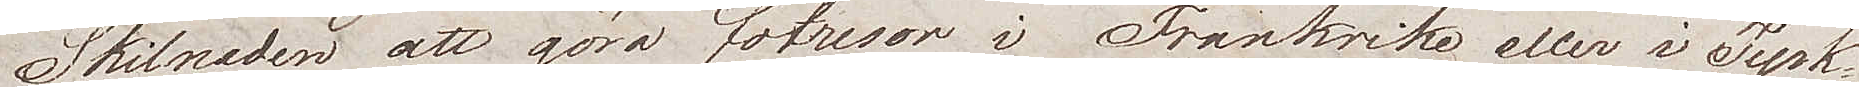Skilnaden att göra fotresor i Frankrike eller i Tysk¬
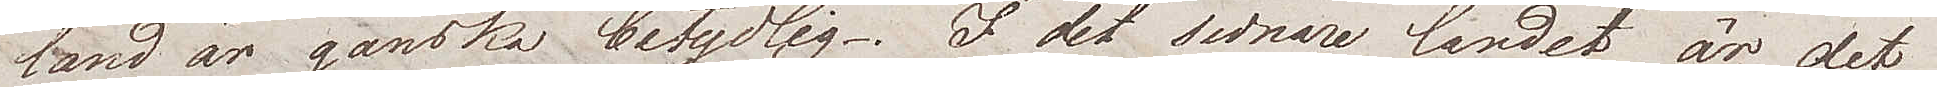land är ganska betydlig. I det senare landet är det
